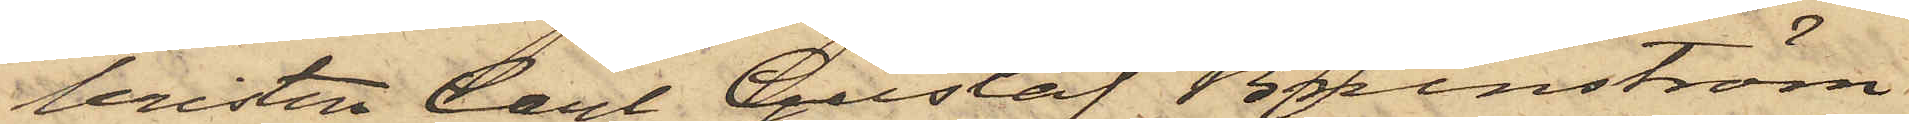leristen Carl Gustaf Brunström
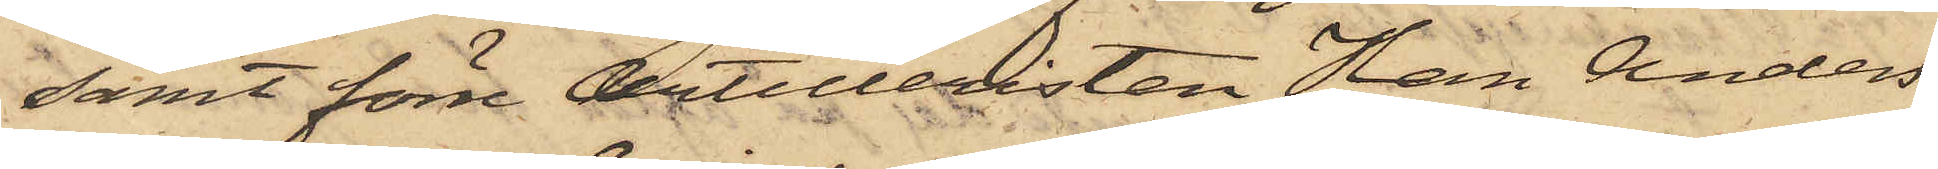samt förre Artilleristen Hans Anders
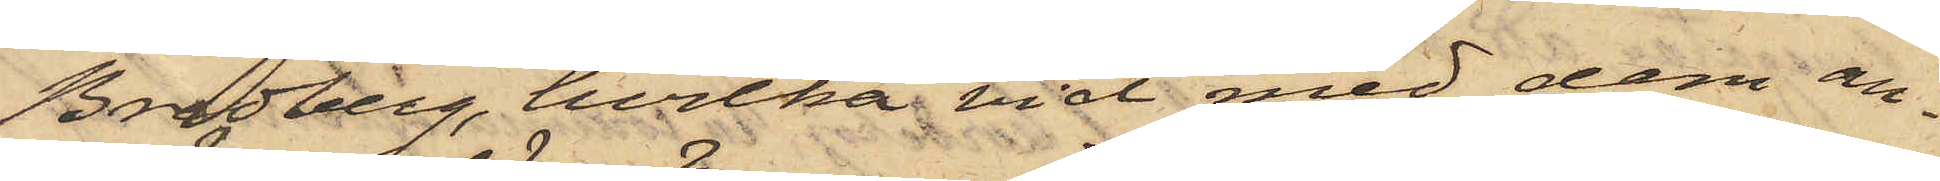Bredberg, hvilka vid med dem an¬
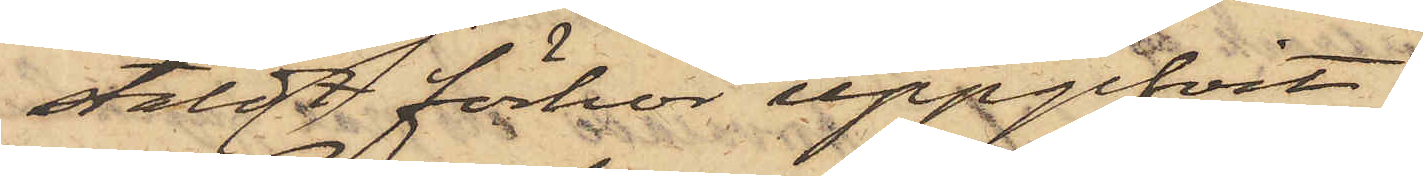stäldt förhör uppgifvit:
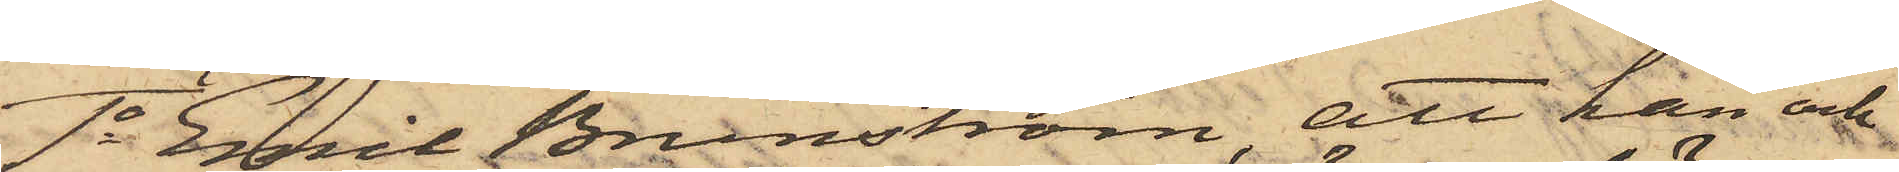1o Emil Brunström, att han och
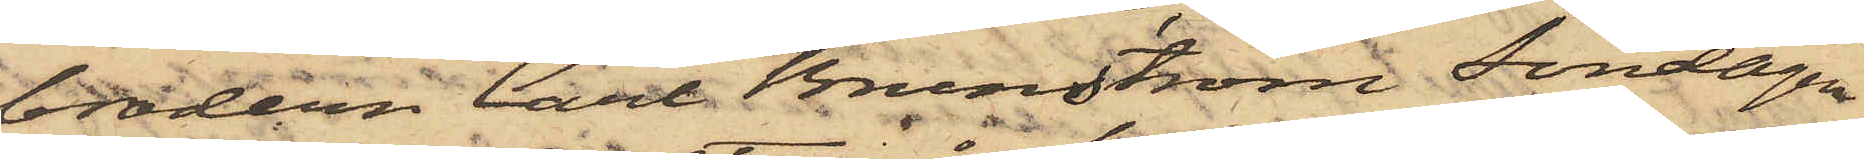brodern Carl Brunström Söndagen
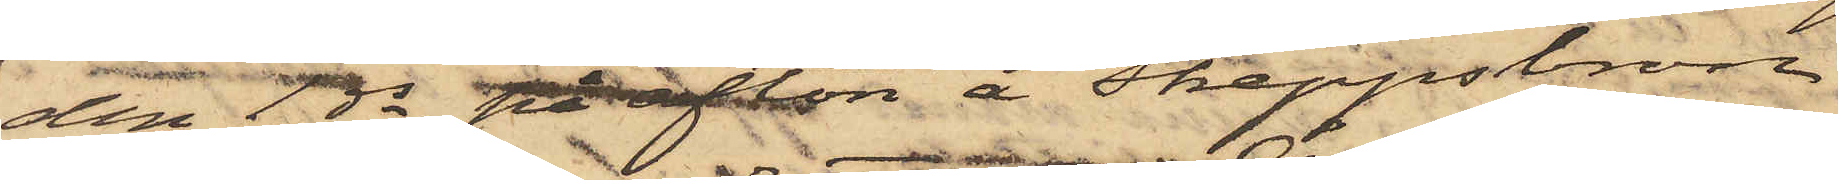den 1 ds på afton å Skeppsbron
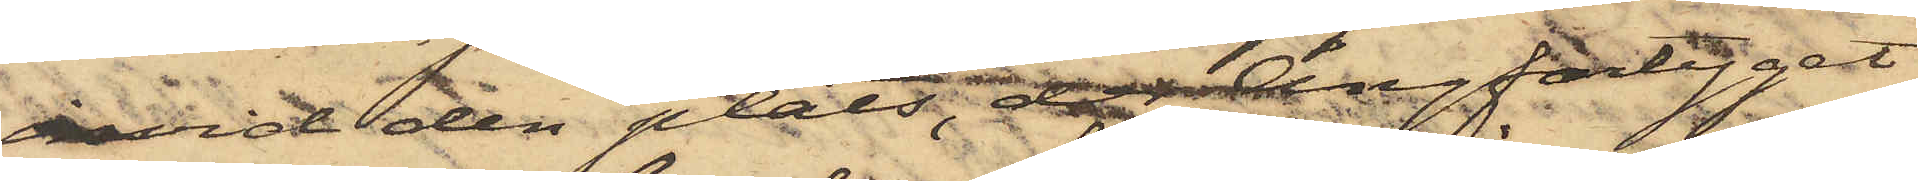invid den plats, der ångfartyget
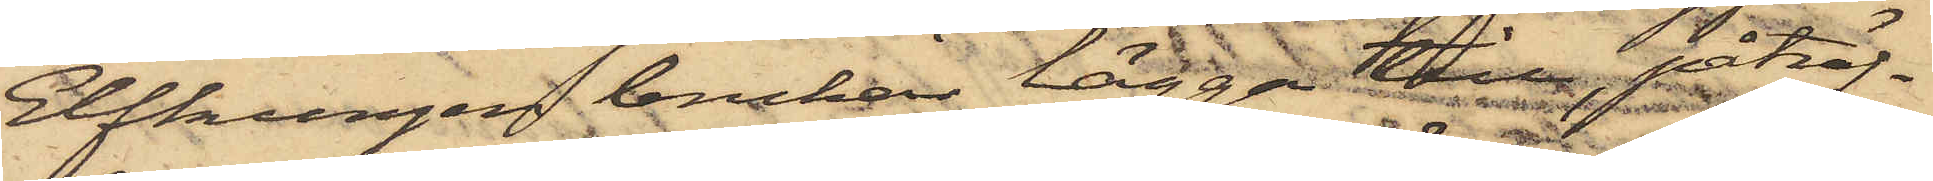Elfkungen brukar lägga till, påträf¬
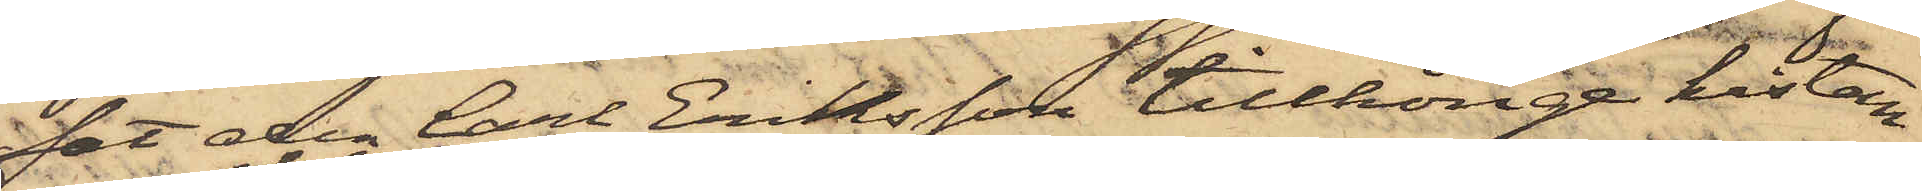fat den Carl Eriksson tillhörige kistan
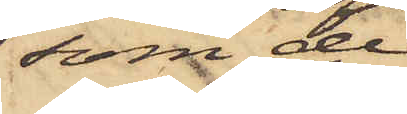som de
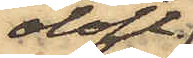olofl.
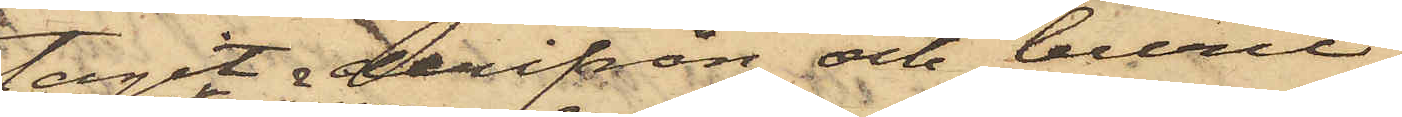tagit derifrån och burit
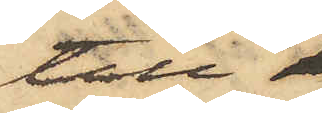till
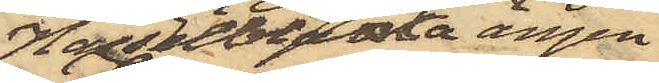Hasselbladska ängen,
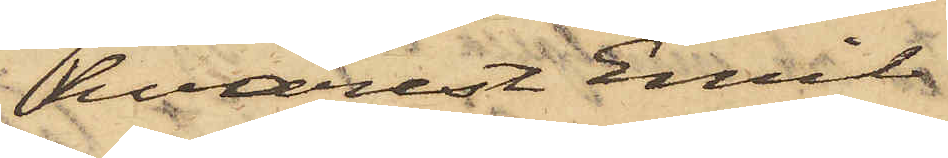hvarest Emil
